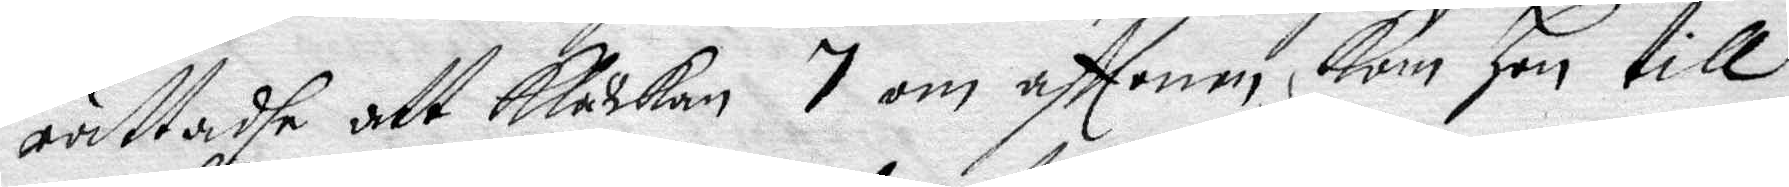rättadhe att Klåckan 7 om afftonen kom hon till
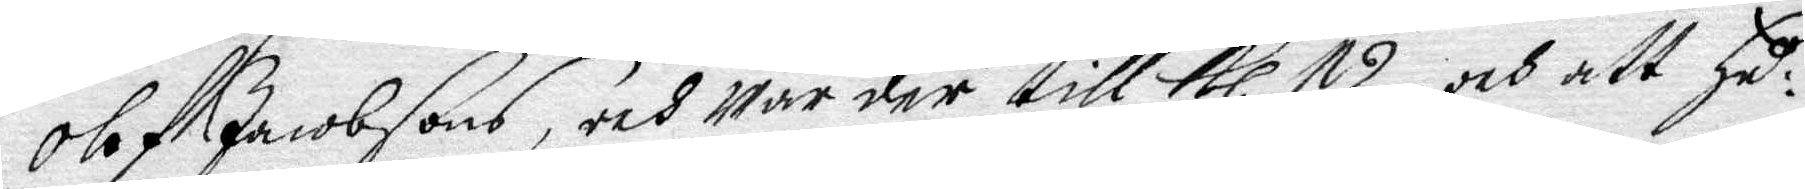Olof Jacobsons, och war der till Kl. 12 och att Hu¬
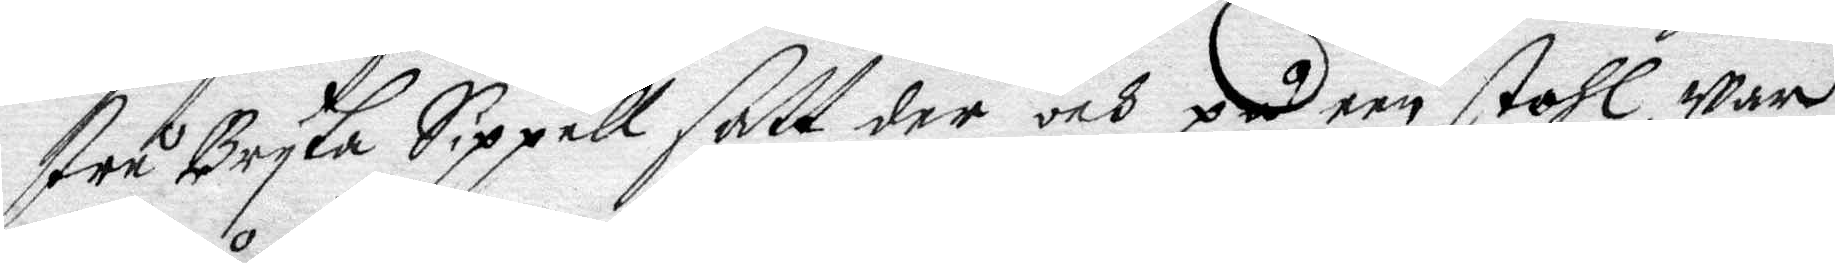stru Bryta Sippell satt der och på een stohl, war
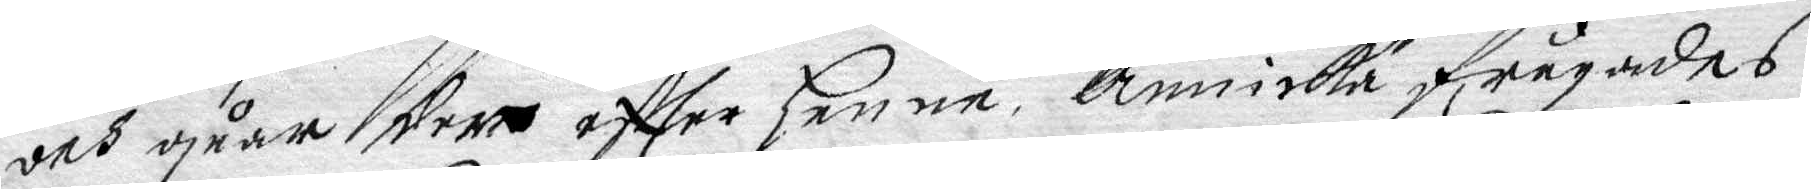och gårr der effter henne, Annicka frågades
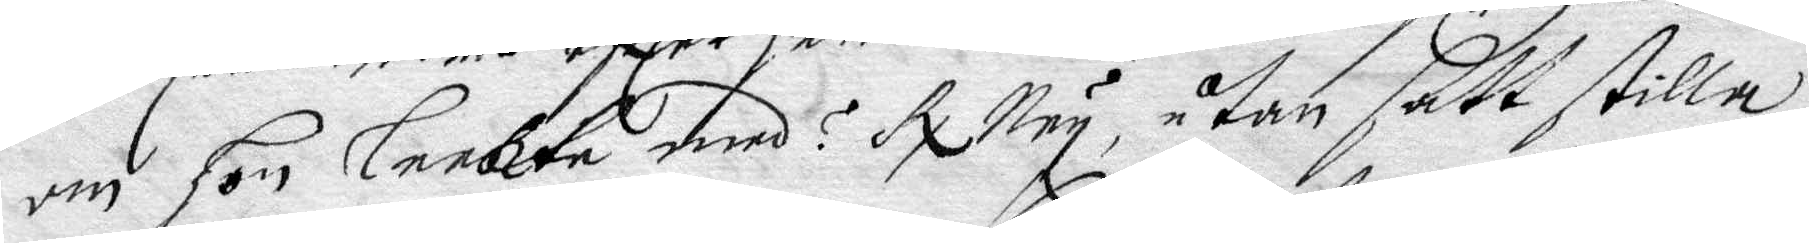om Hon leekte medh? R. Ney, utan satt stilla
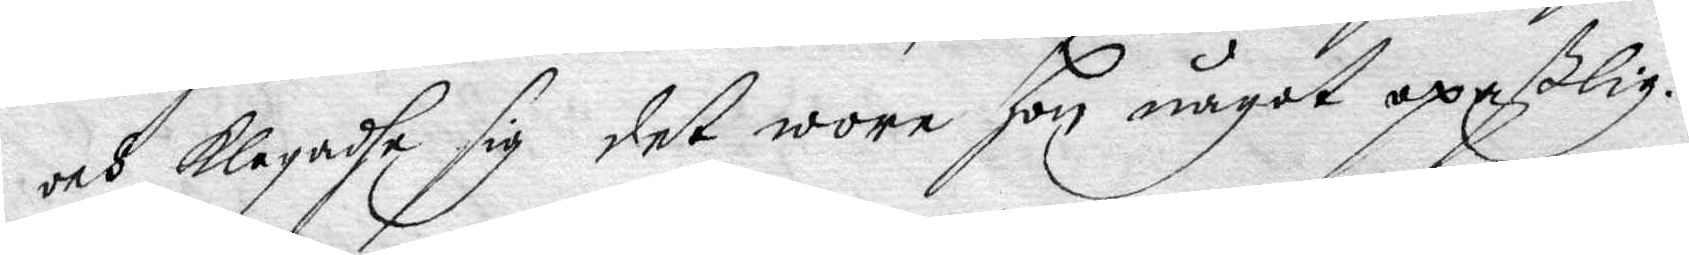och klagadhe sig det wore hon något opaßlig.
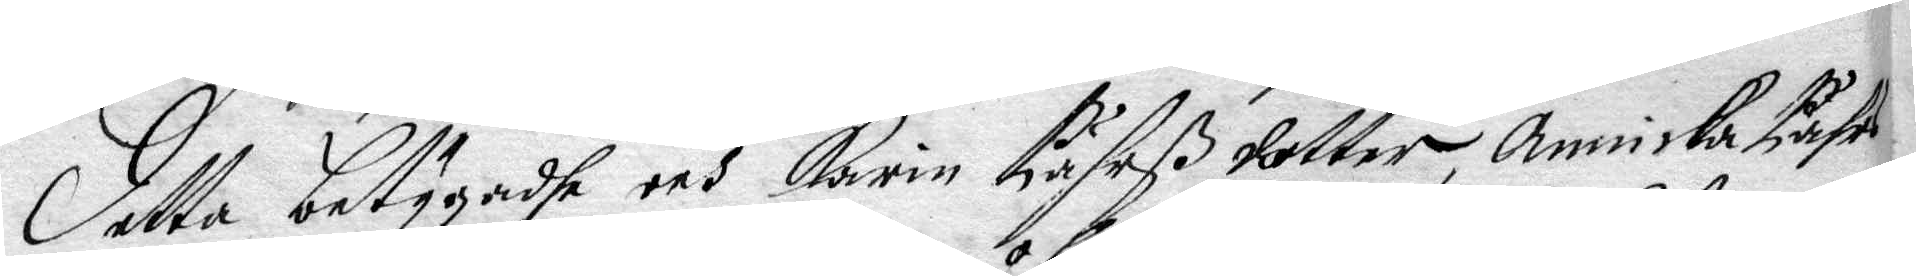Detta betygadhe och Karin Pährß dotter, Annicka Pährs¬
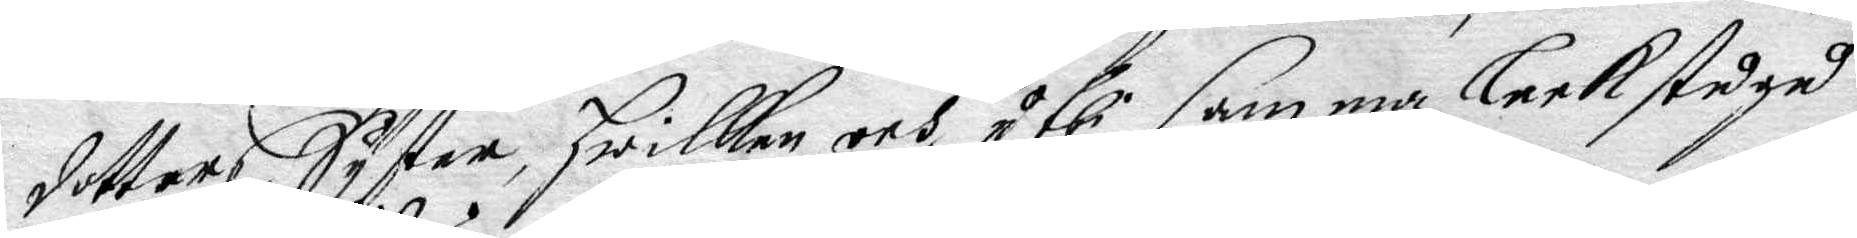dotters Syster, Hwilken och uthi samma leek stuga
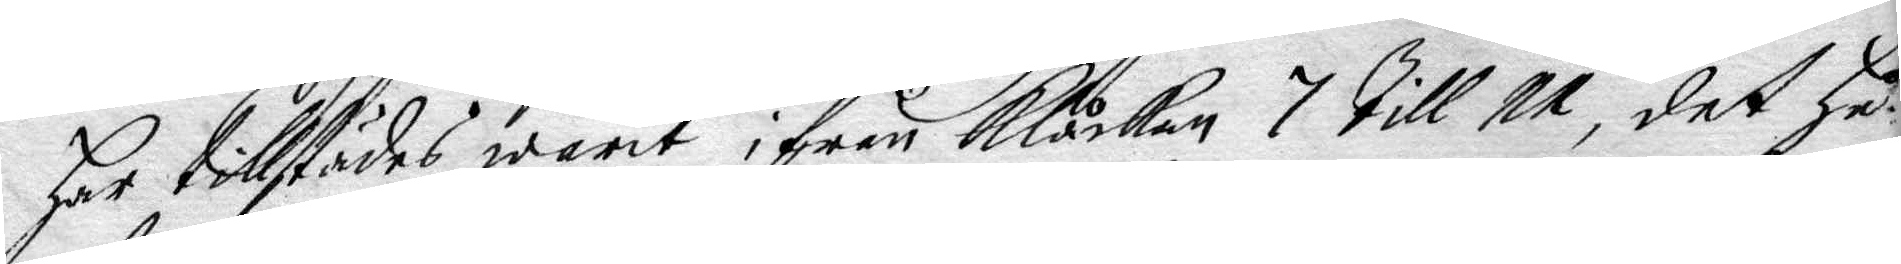Har tillstädes warit ifrån Klåckan till 11, det hu¬
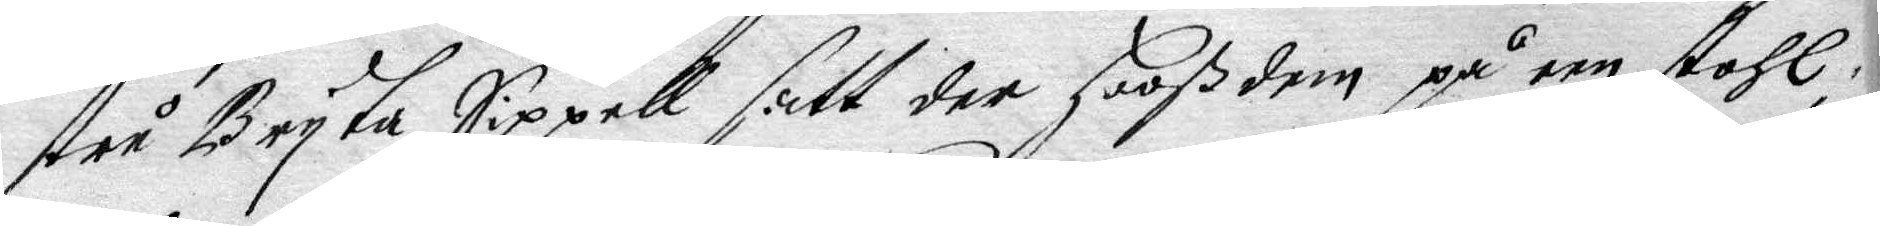stru Bryta Sippel satt der Hoos dem på een stohl
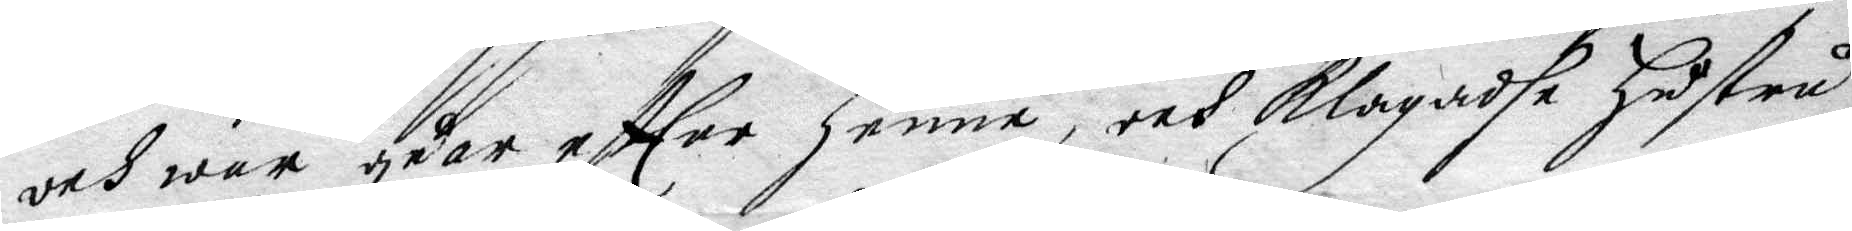och war gåar effter henne, och klagadhe hustru
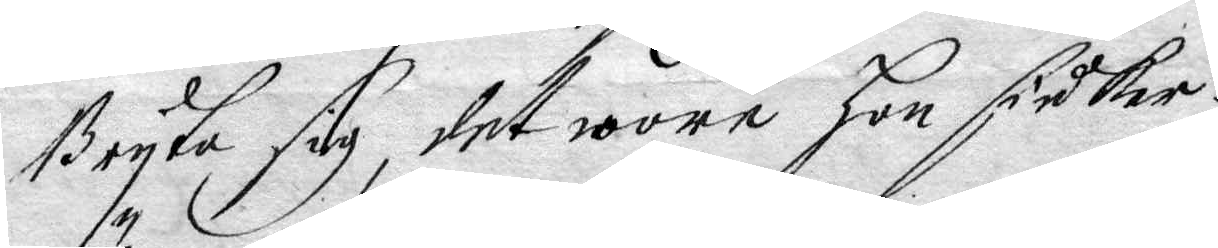Bryta sig, det wore Hon fidker.
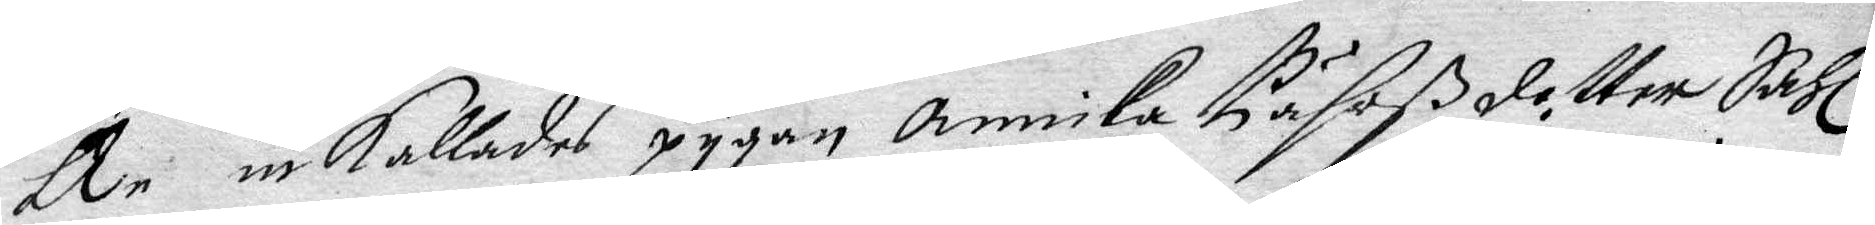Än inkallades pygan Annika Pährßdotter Sahl.
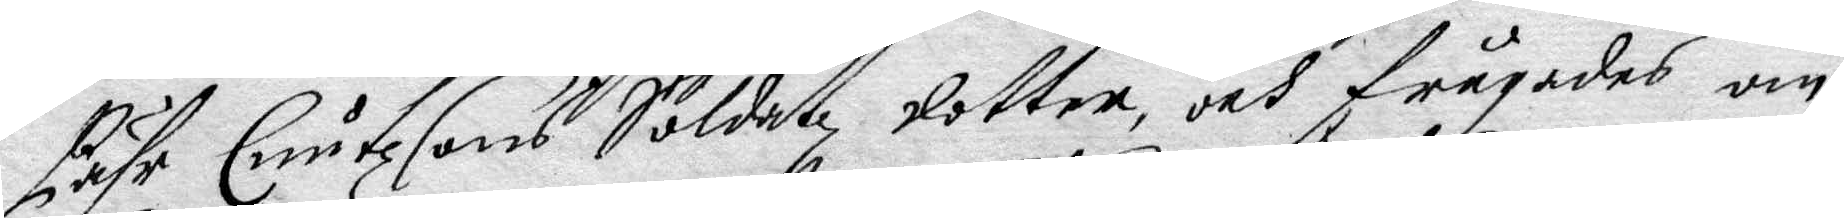Pähr Enutzsons Soldatz dotter, och frågades om
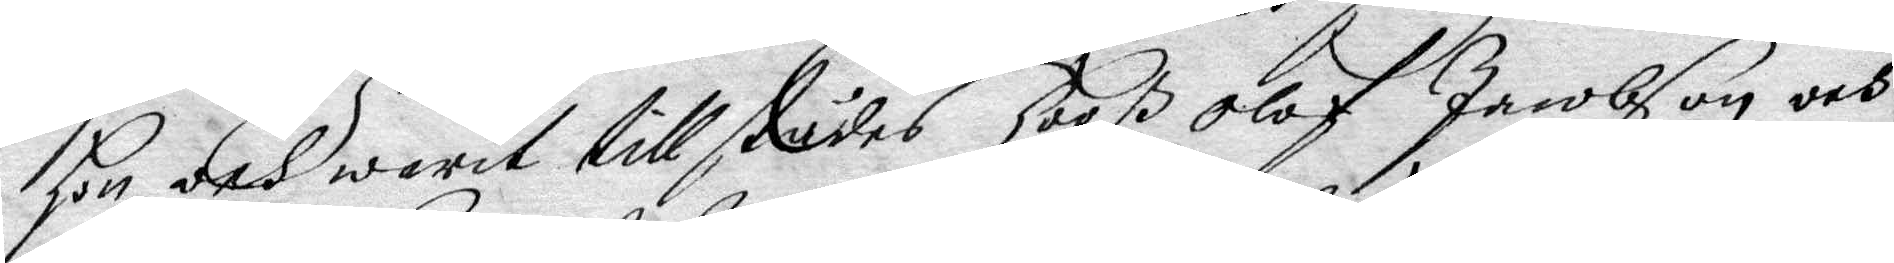hon och warit tillstädes Hooß Olof Jacobson och
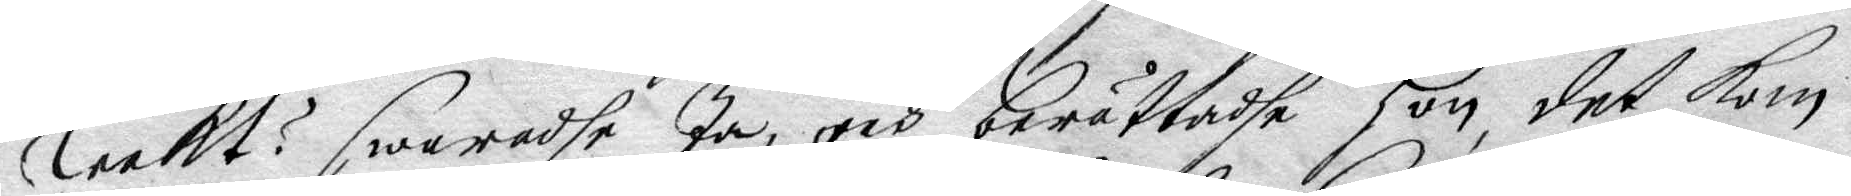leekt? swaradhe Ja, och berättadhe hon det kom
